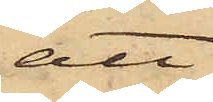att
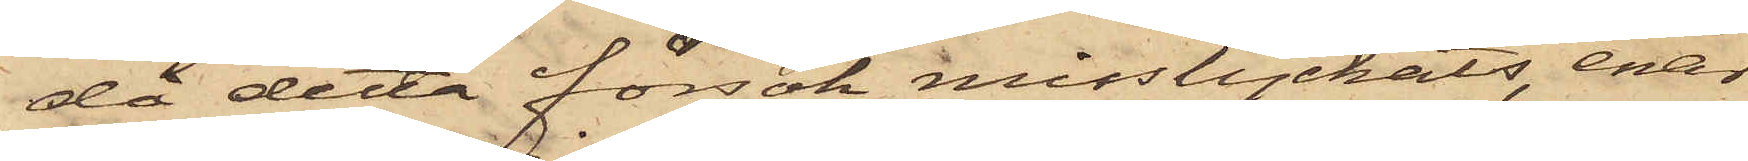då detta försök misslyckats, enär
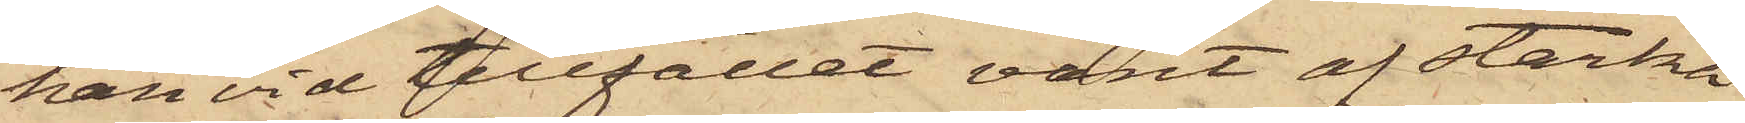han vid tillfället varit af starka
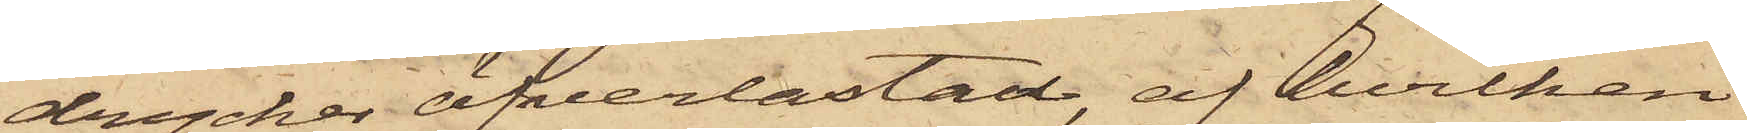drycker öfverlastad, af hvilken
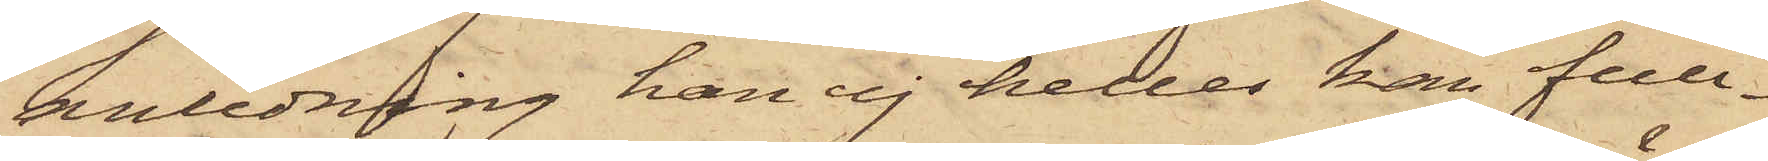anledning han ej heller kan full¬
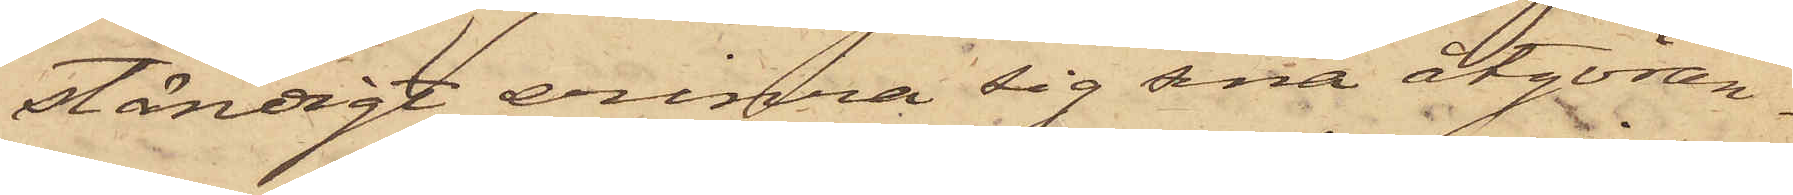ständigt erinra sig sina åtgöran¬
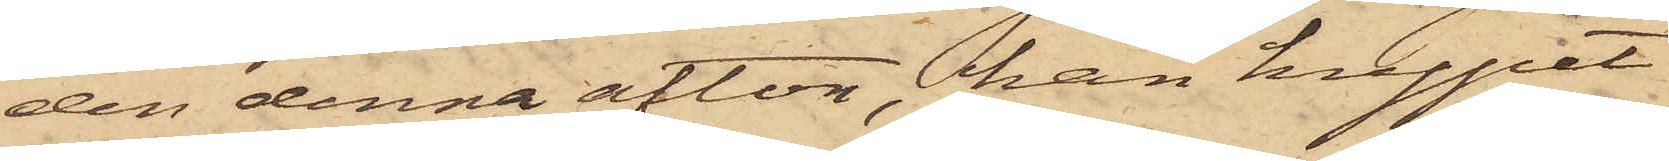den denna afton, han krypit
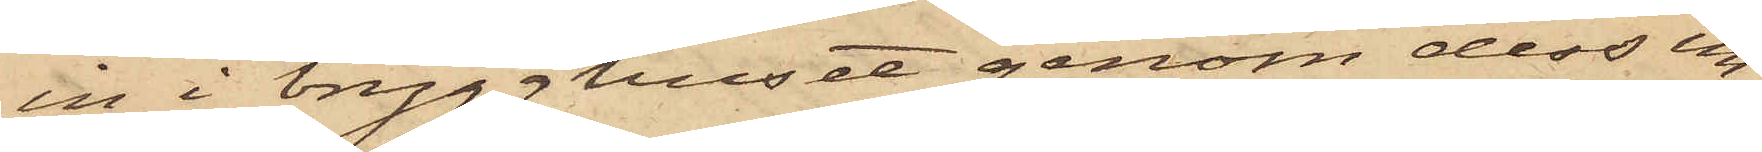in i brygghuset genom dess un¬
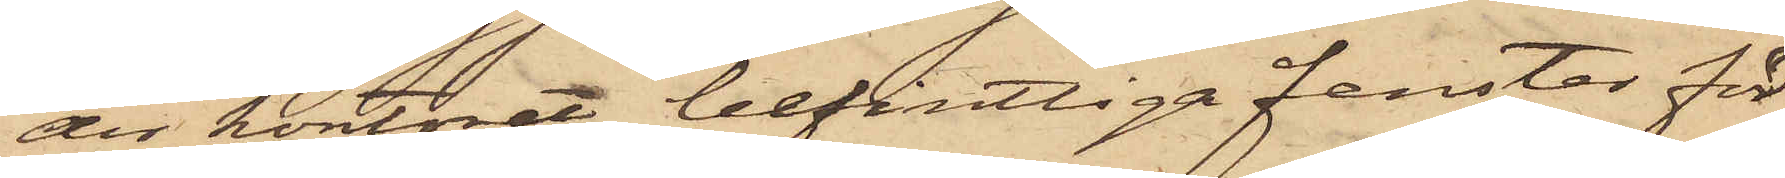der kontoret befintliga fenster för
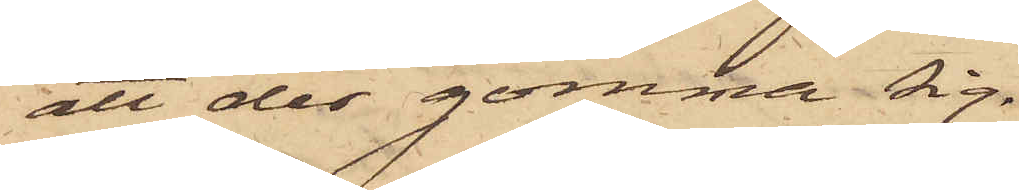att der gömma sig.
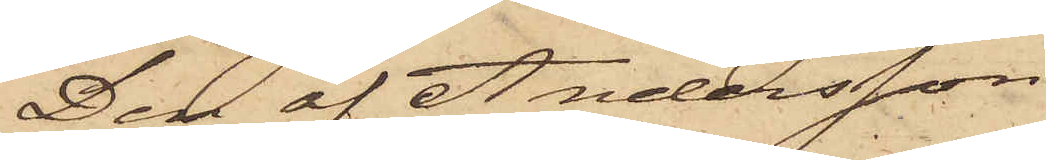Den af Andersson
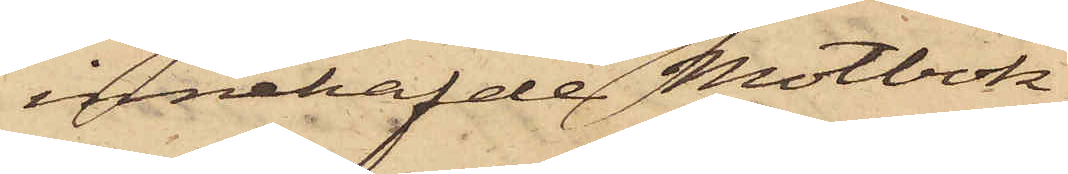innehafde Motbok
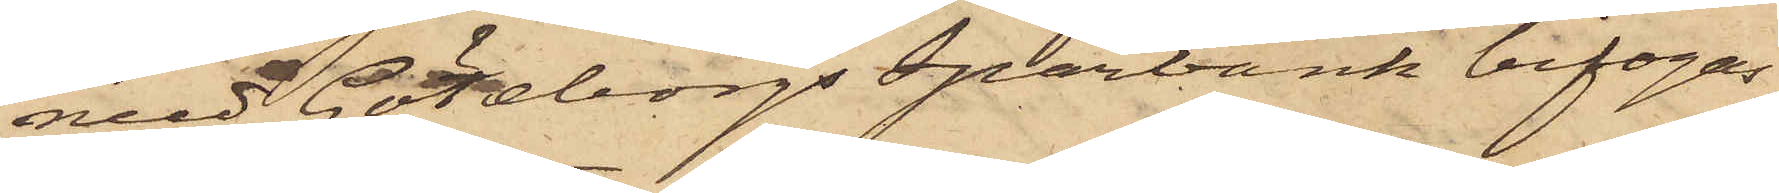med Göteborgs Sparbank bifogas
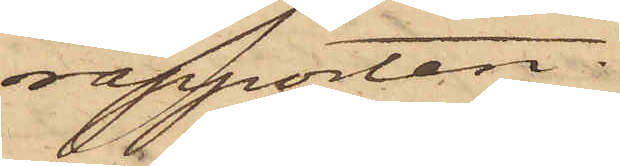rapporten.
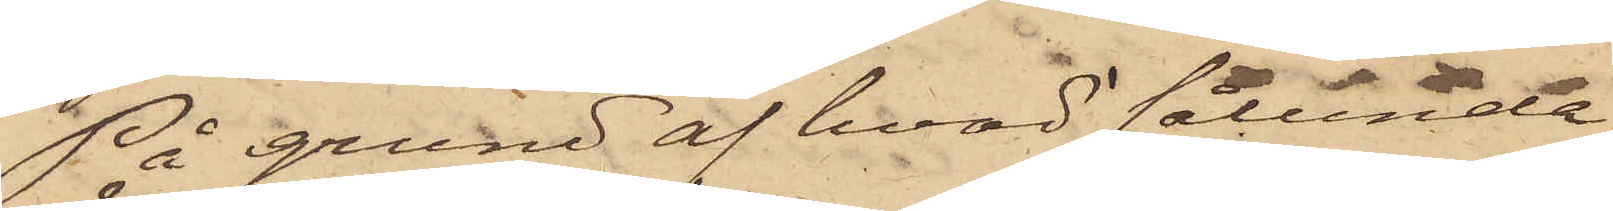På grund af hvad sålunda
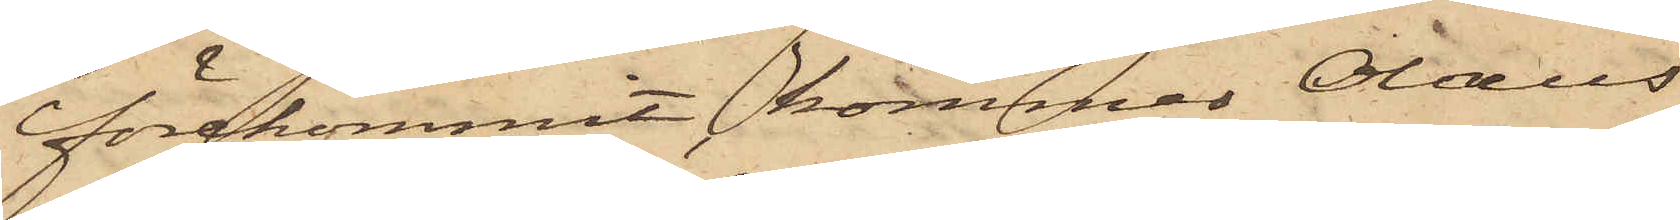förekommit, kommer Olaus
